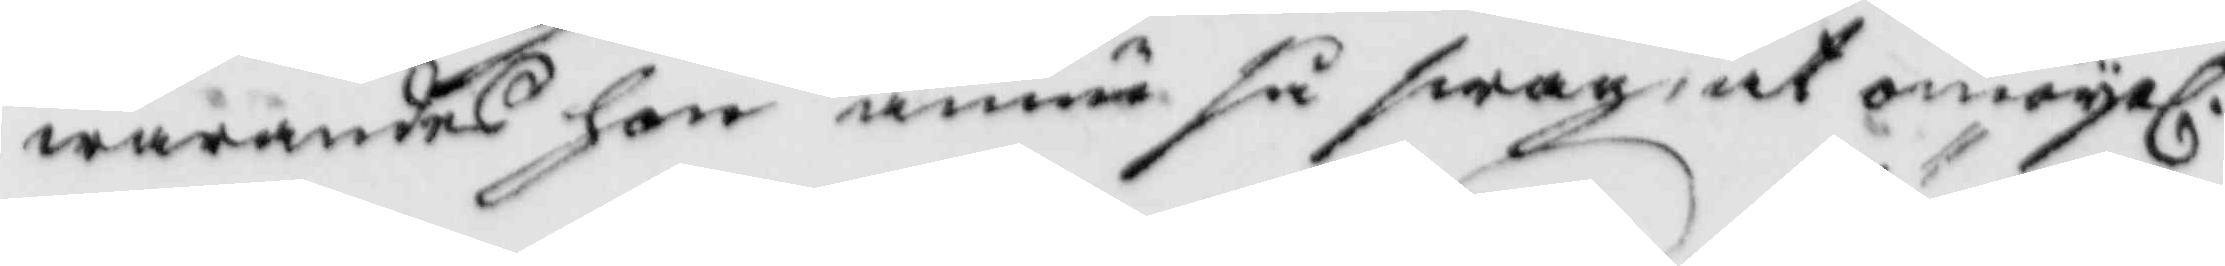warandes hon ännu så swag, at omöjel.
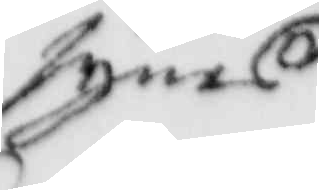synes
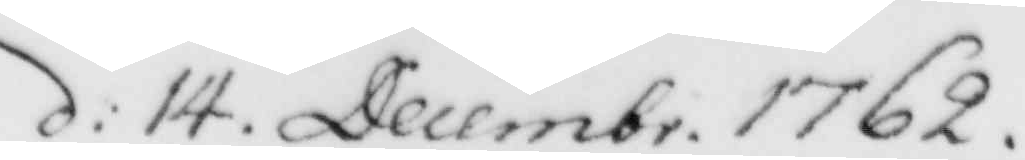d: 14. Decembr. 1762.
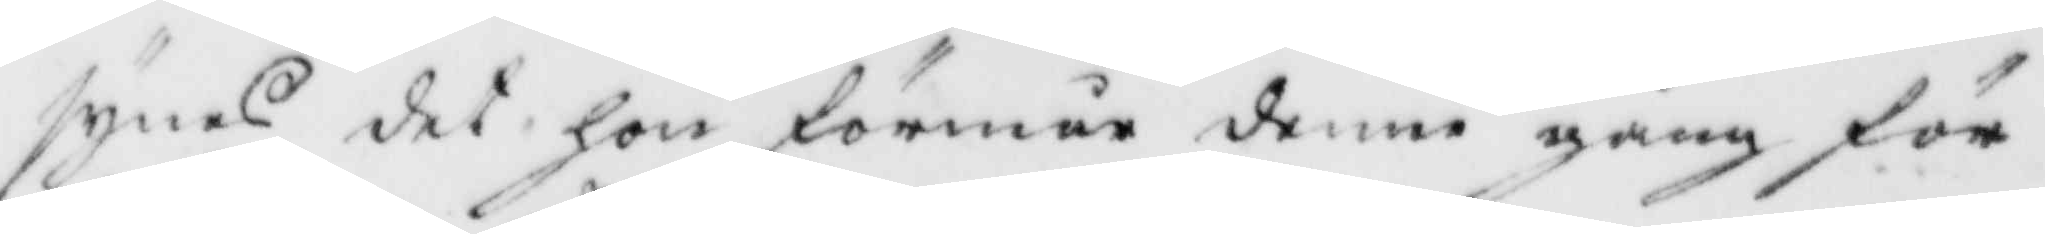Synes det hon förmår denne gång för
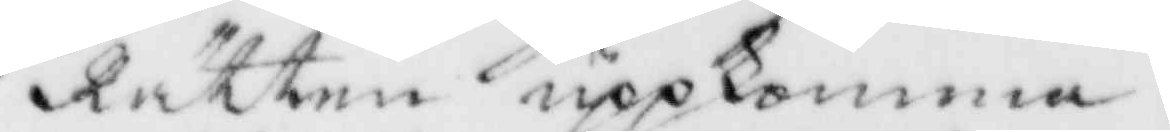Rätten uppkomma.
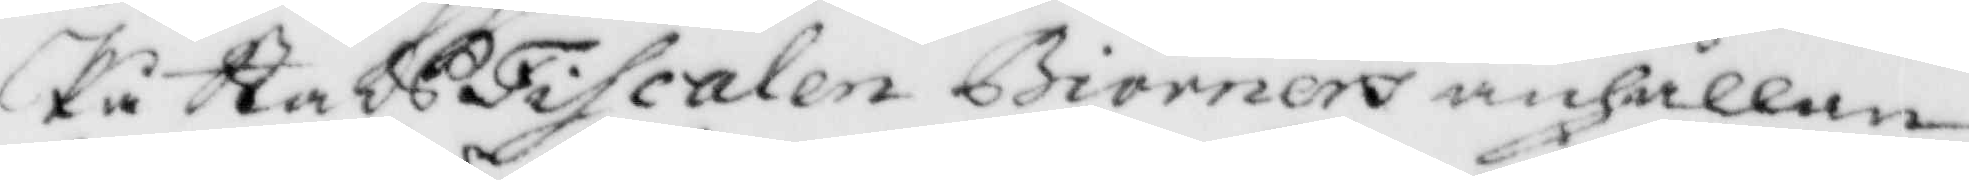På StadsFiscalen Biörners anhållan
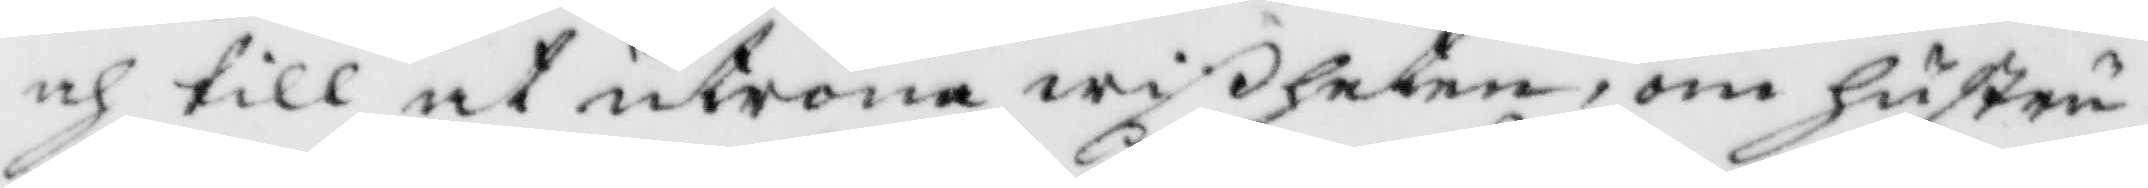och till at utröna wiheten, om hustru
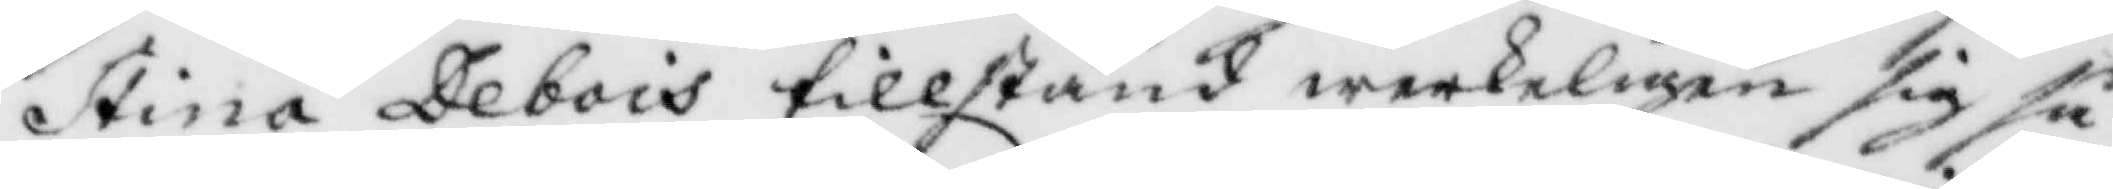Stina Debois tillstånd werkeligen sig så
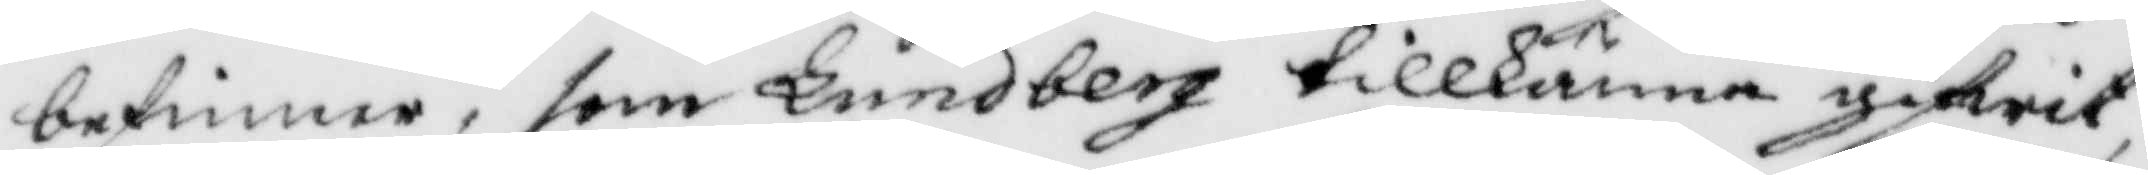befinner, som Lundberg tillkänna gifwit,
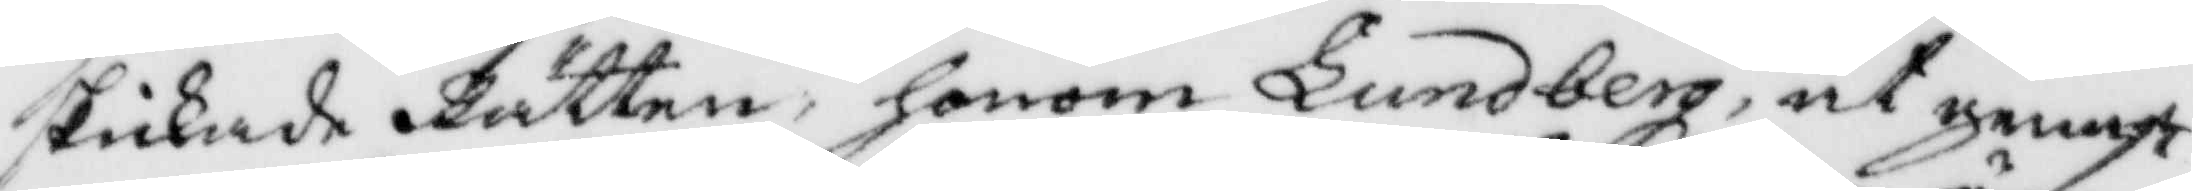skickade Rätten, honom Lundberg, at genast
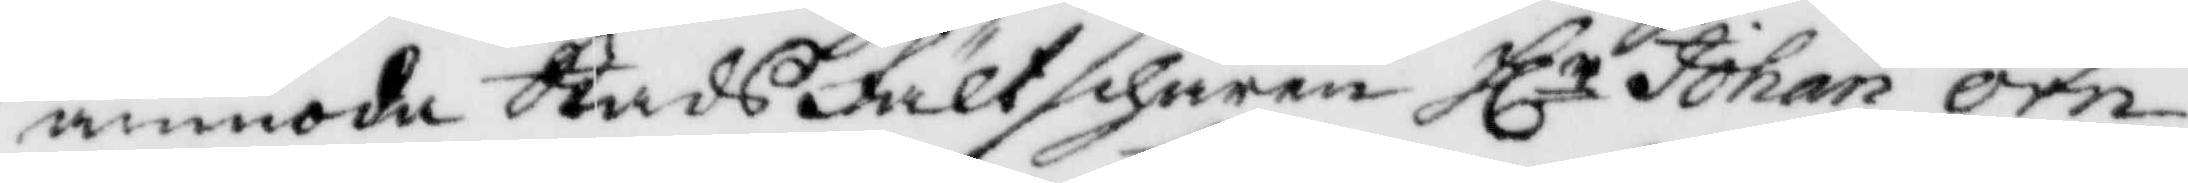anmoda Stadsfältschären Hlr Johan Örn,
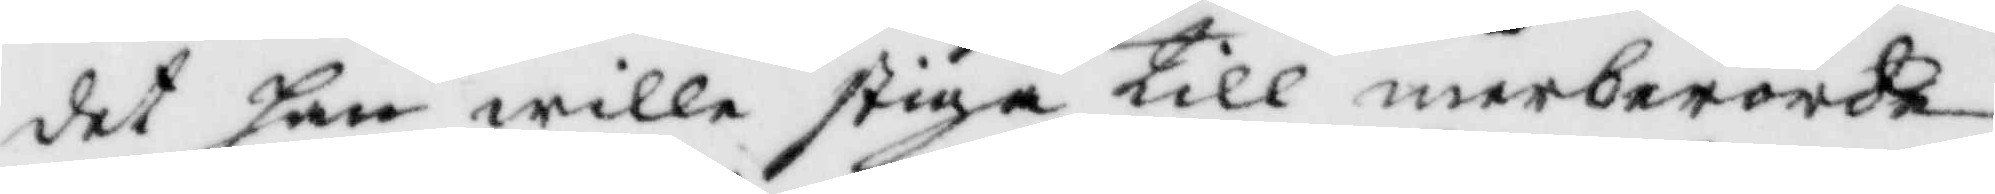det han wille stiga till merberörde
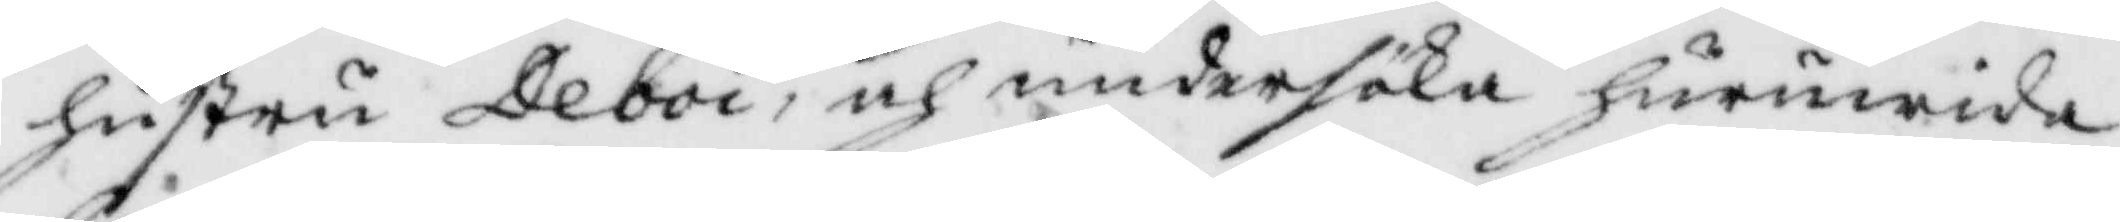hustru Deboi, och undersöka huruwida
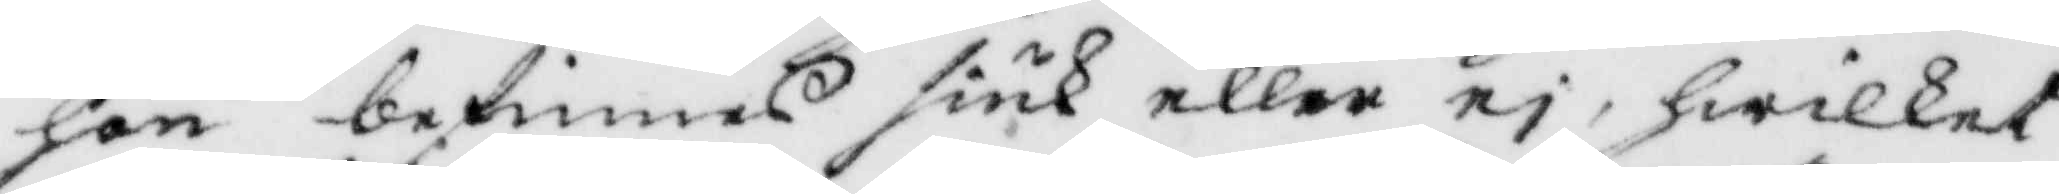hon befinnes siuk eller ej, hwilket
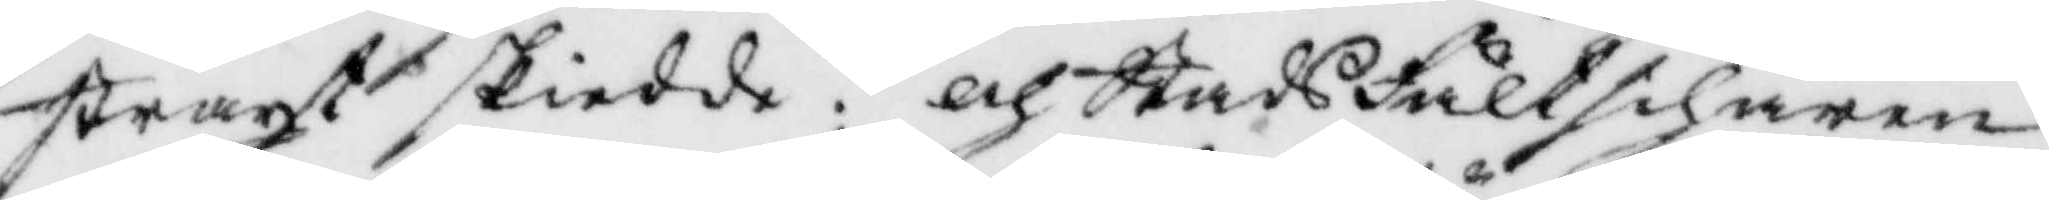straxt skiedde; och Stadsfältschären
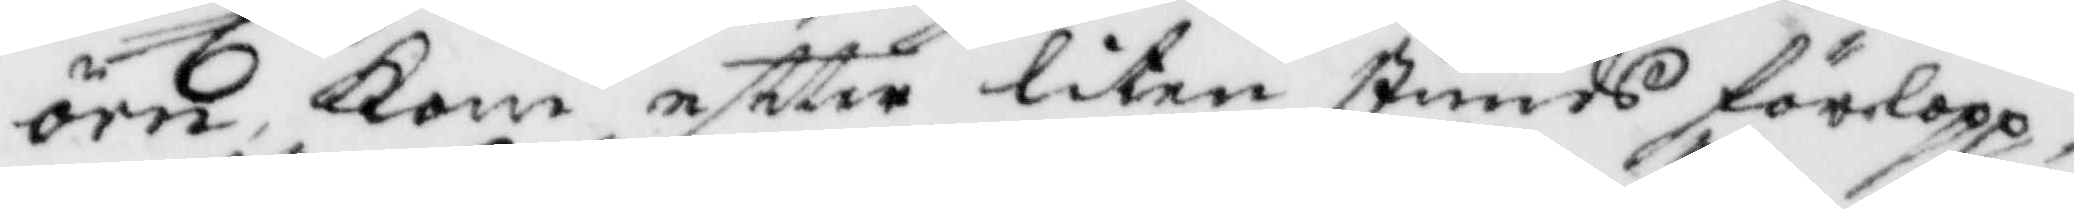örn, Kom eftter liten stunds förlopp,
